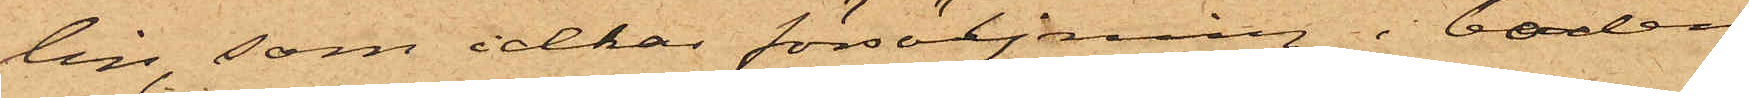lin, som idkar försäljning i boden
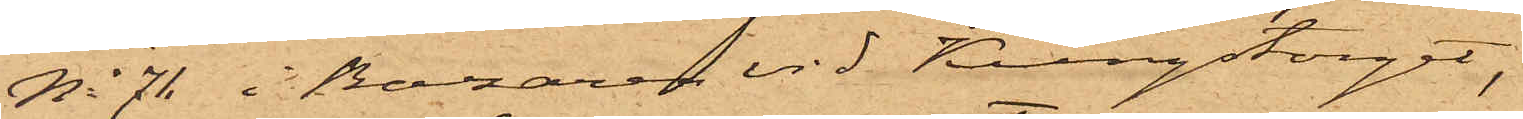No 71 i Bazaren vid Kungstorget,
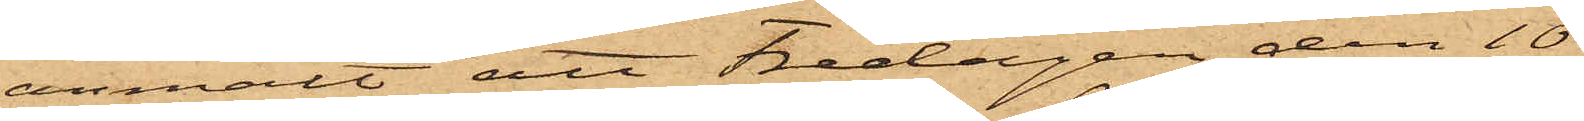anmält att Fredagen den 10
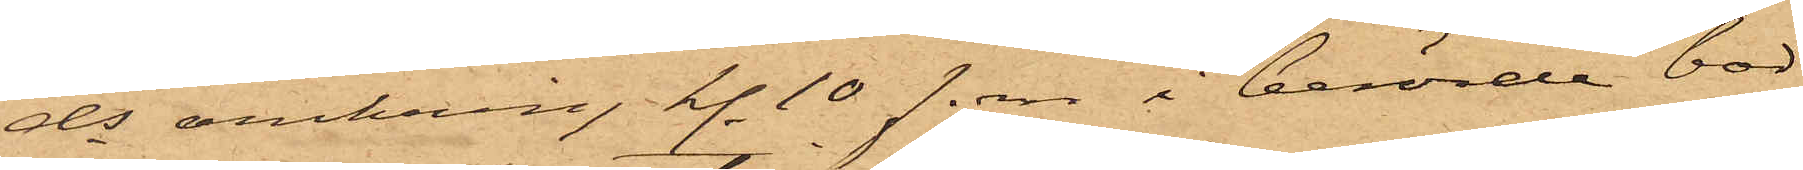ds omkring kl. 10 f. m. i berörde bod
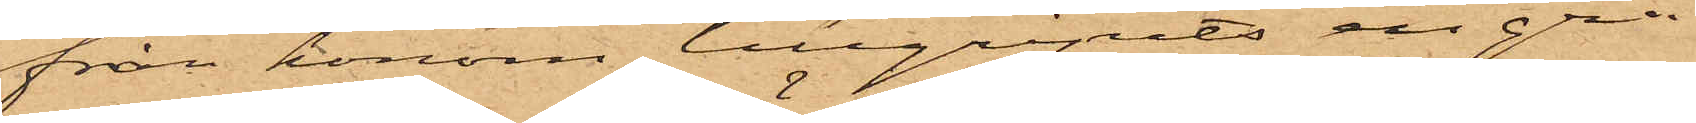från honom tillgripits en grå
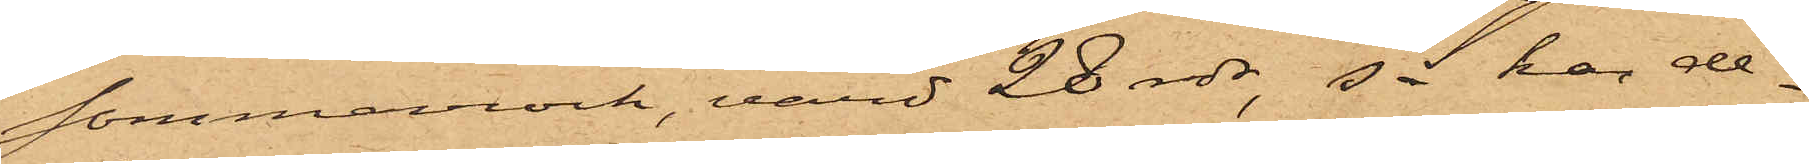sommarrock, värd 28 rdr, så har de¬
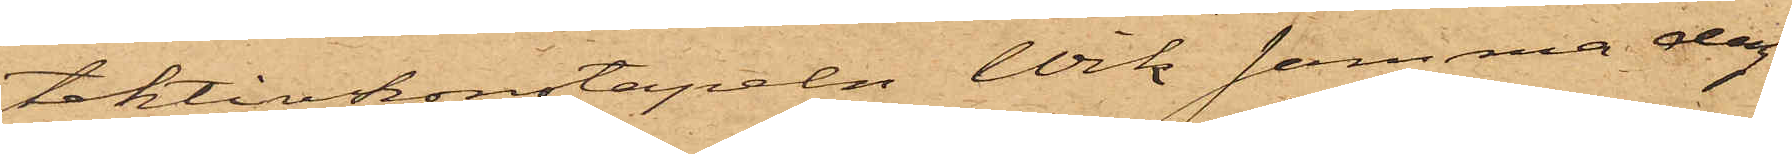tektivkonstapeln Wik samma dag
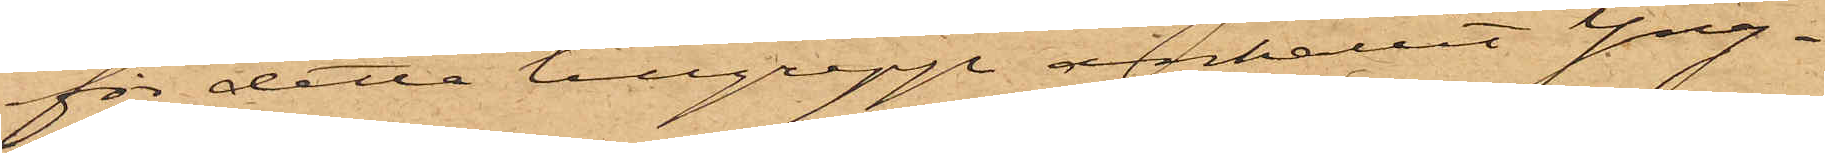för detta tillgrepp anhållit Yng¬
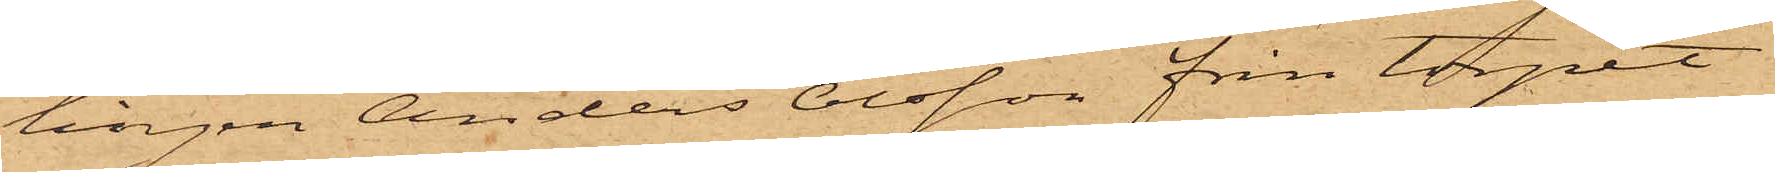lingen Anders Olsson från torpet
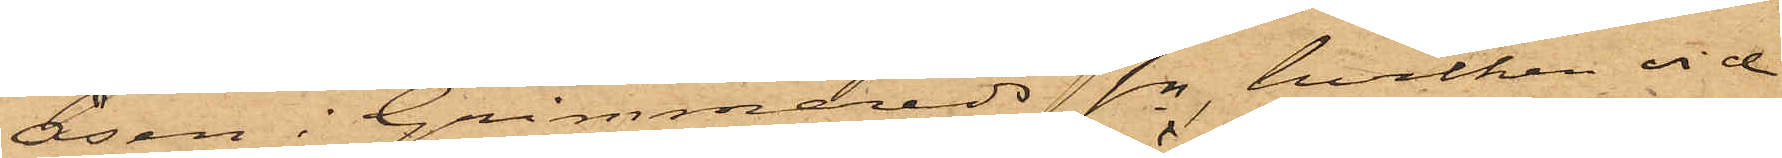Åsen i Grimmereds sn, hvilken vid
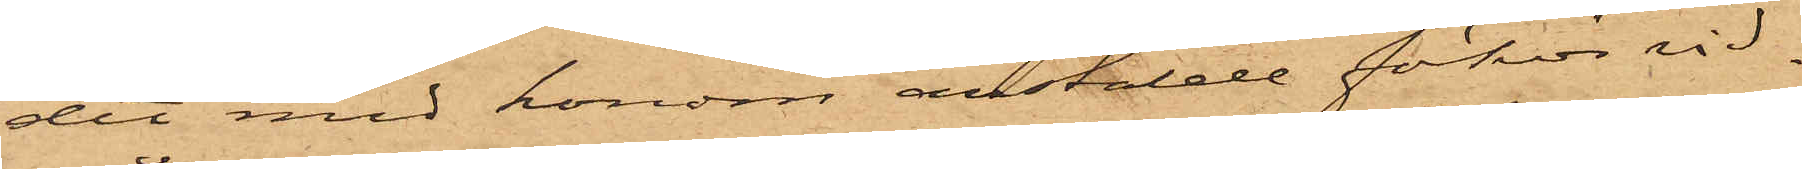det med honom anställde förhör vid¬
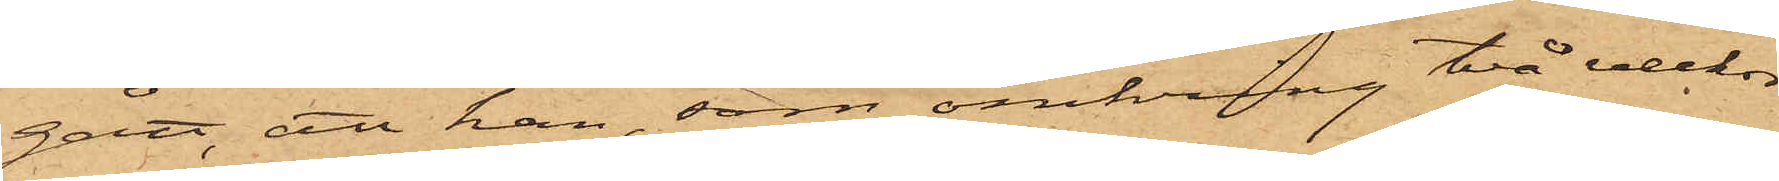gått, att han, som omkring två veckor
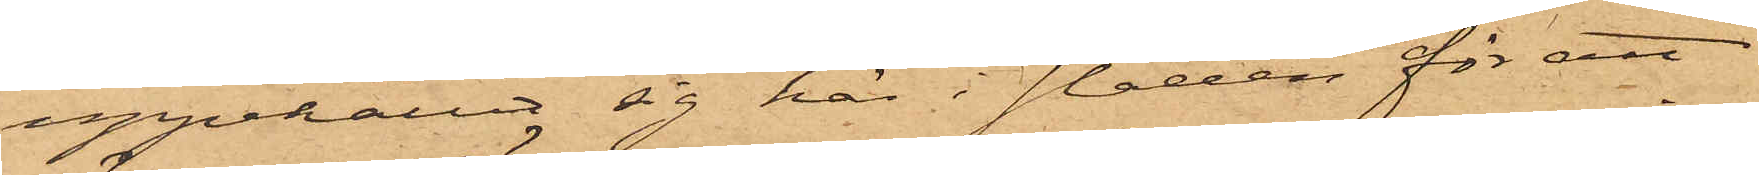uppehållit sig här i staden för att
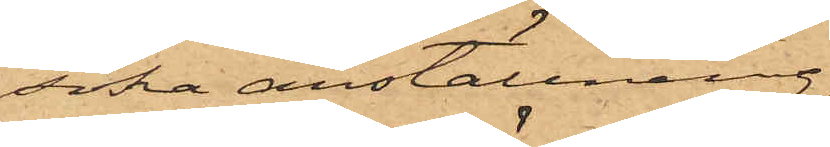söka anställning,
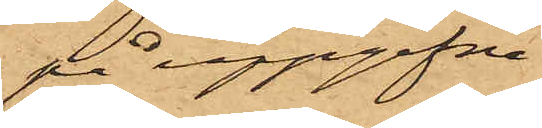på uppgifne
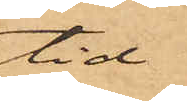tid
